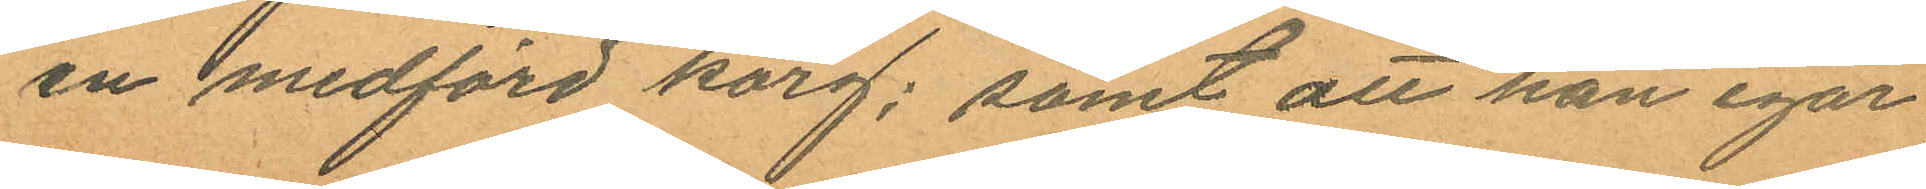en medförd korg; samt att han igår
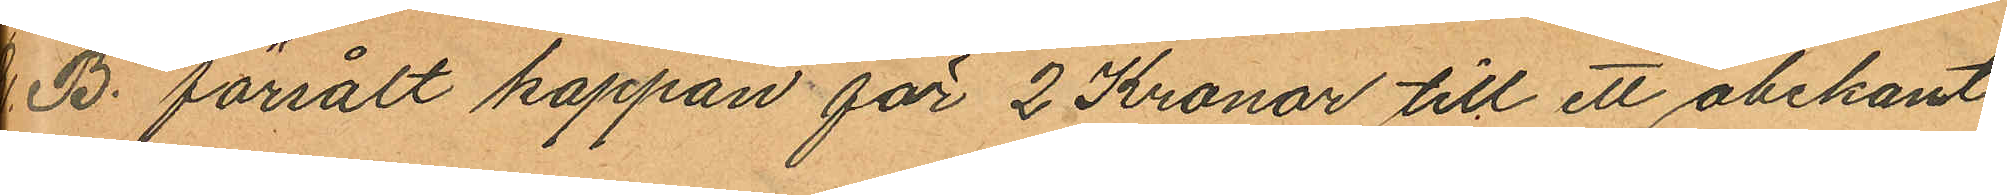B. försålt kappan för 2 Kronor till ett obekant
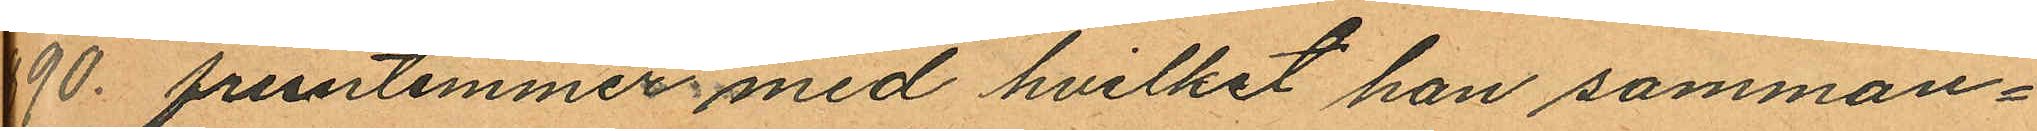90. fruntimmer med hvilket han samman¬
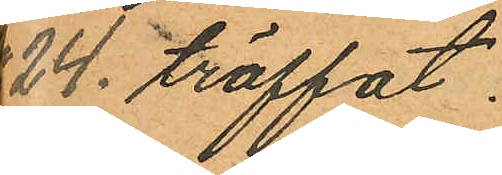24 träffat.
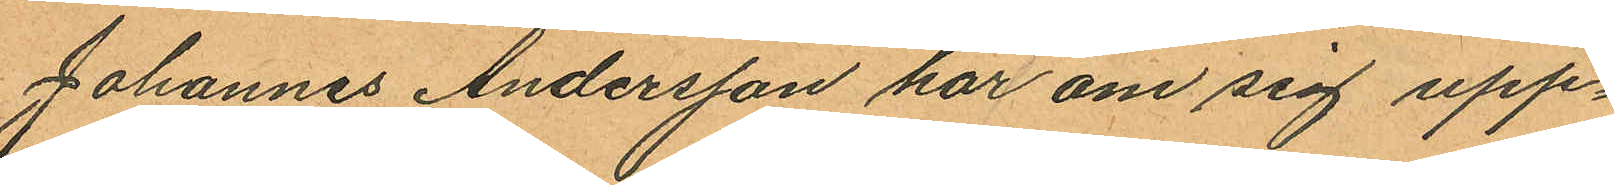Johannes Andersson har om sig upp¬
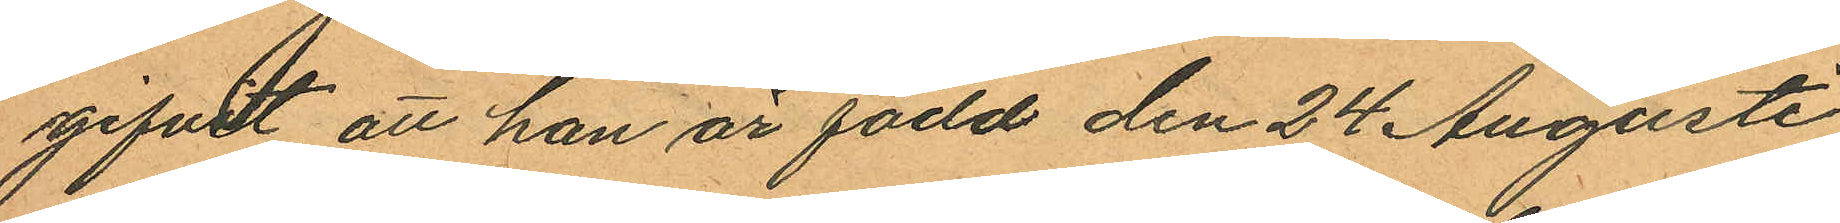gifvt att han är född den 24 Augusti
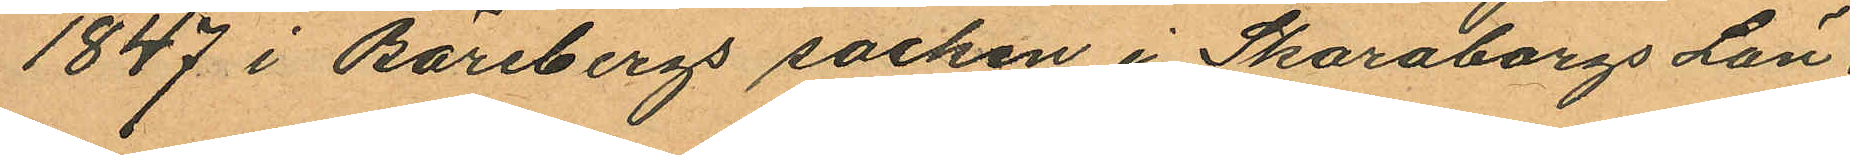1847 i Bärebergs socken i Skaraborgs Län
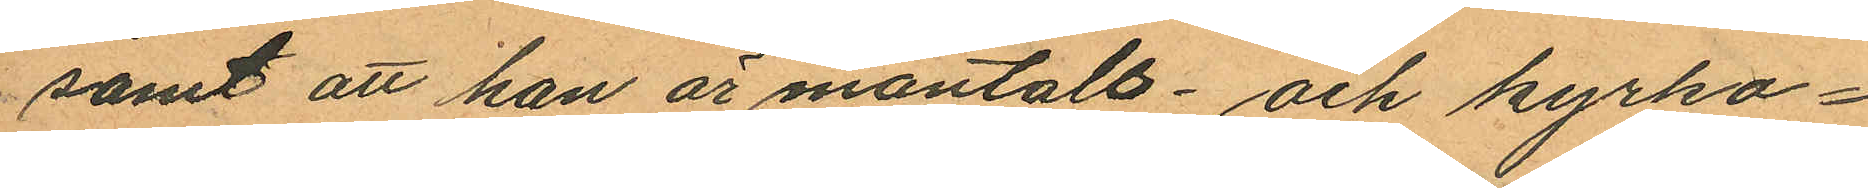samt att han är mantals- och kyrko¬
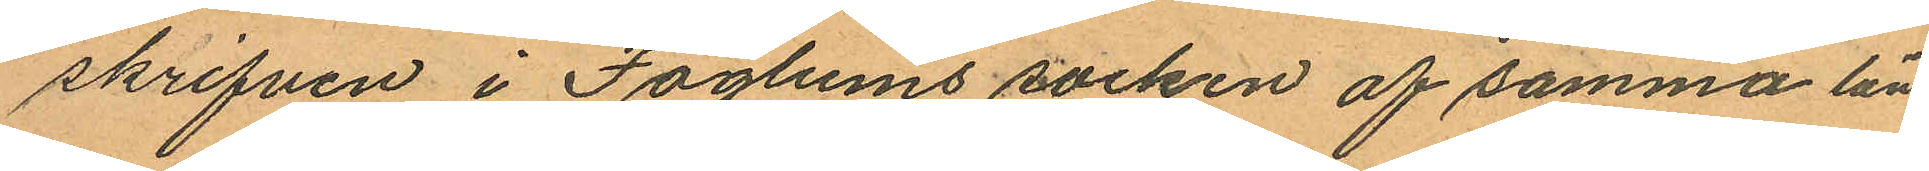skrifven i Faglums socken af samma län.
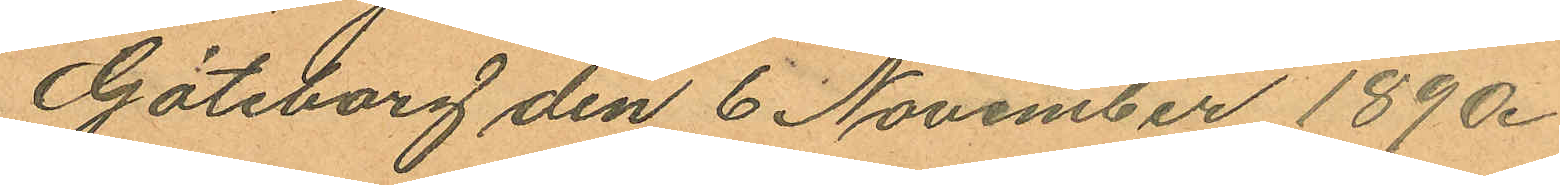Göteborg den 6 November 1890.
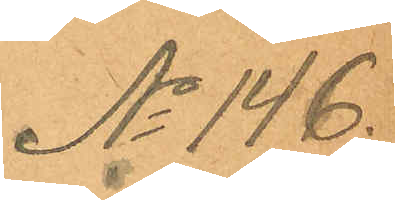No 146.
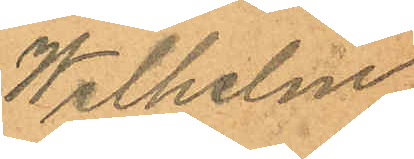Wilhelm
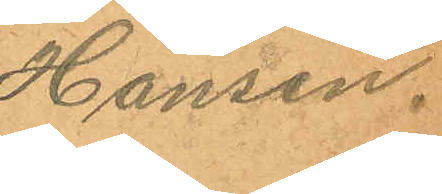Hansen.
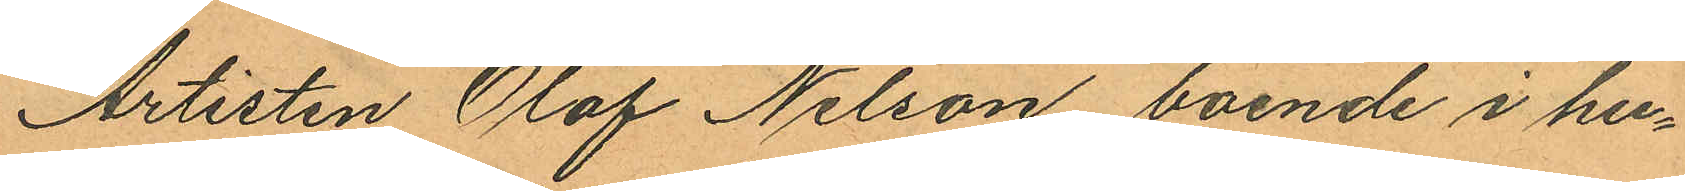Artisten Olof Nilson, boende i hu¬
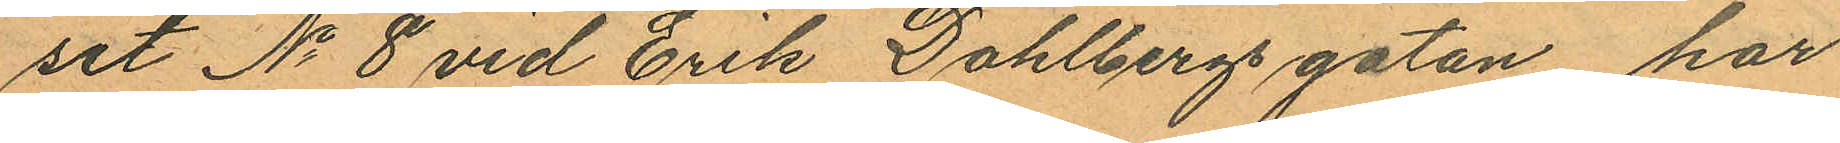set No 8 vid Erik Dahlbergsgatan har
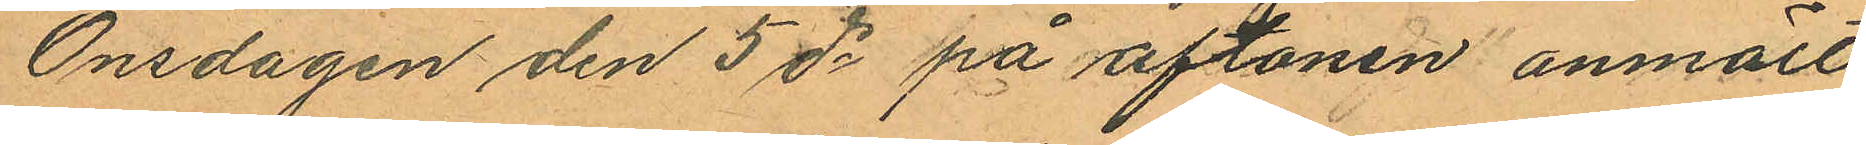Onsdagen den 5 ds på aftonen anmält
